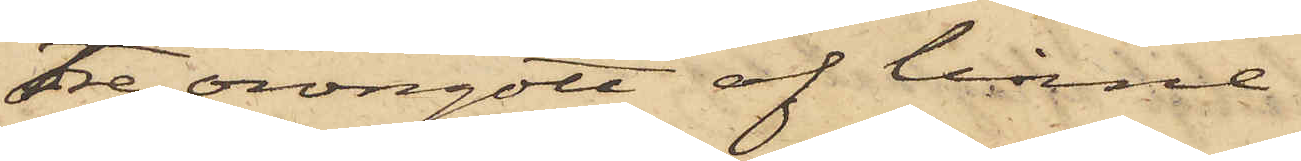tre örngott af linne
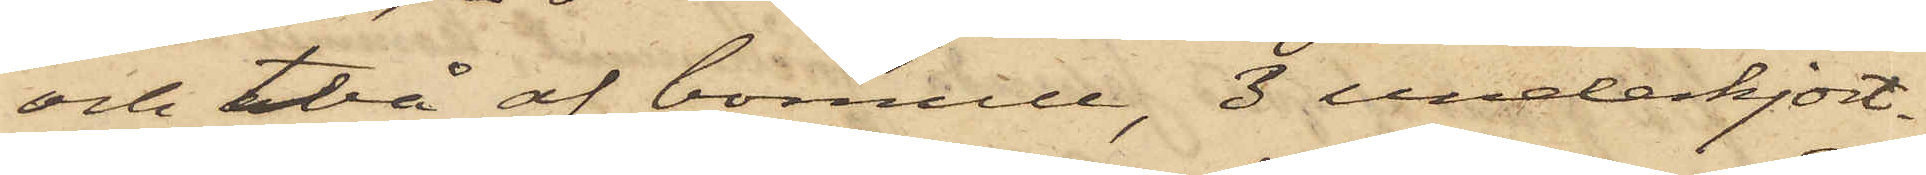och två af bomull, 3 underkjort¬
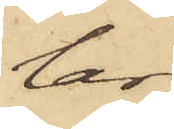lar,
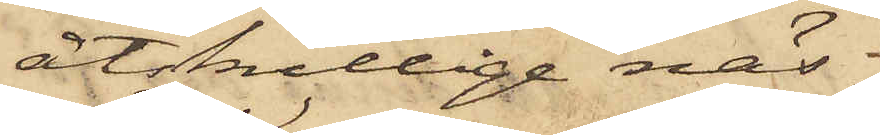åtskillige näs¬
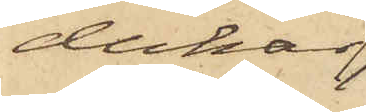dukar,
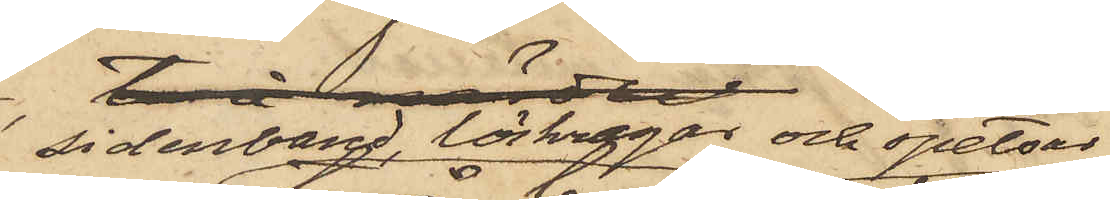sidenband, löskragar och spetsar
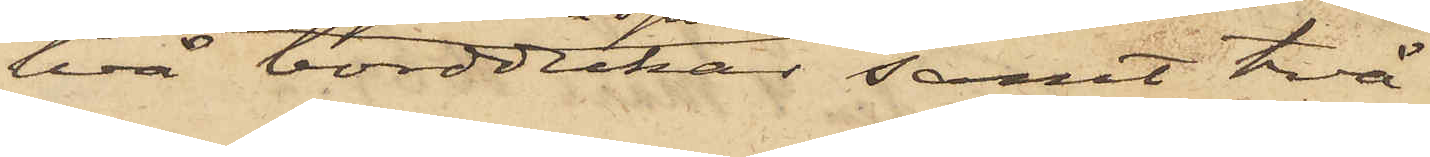två borddukar samt två
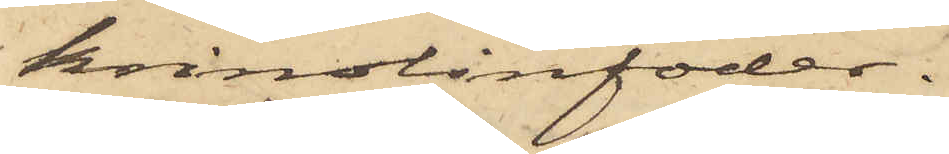krinolinfoder.
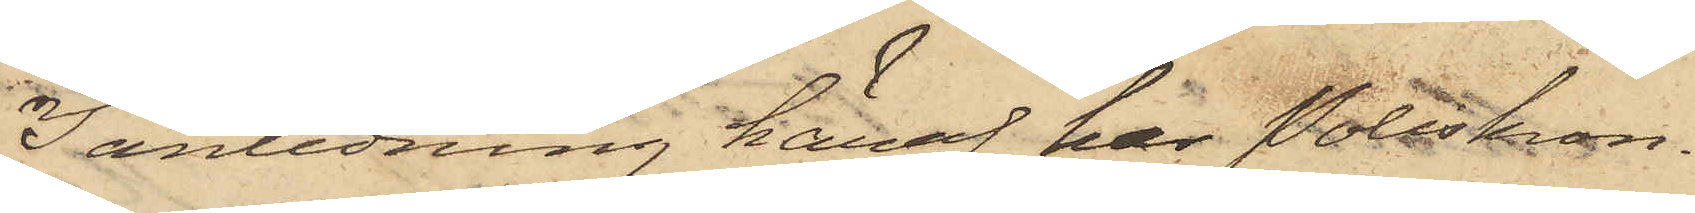I anledning häraf har Poliskon¬
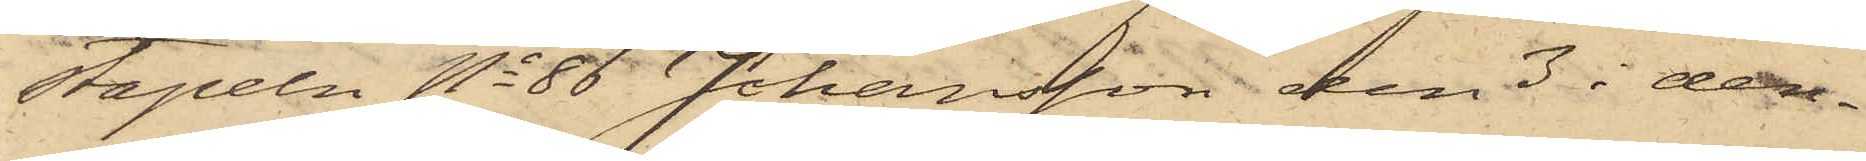stapeln No 86 Johansson den 3 i den¬
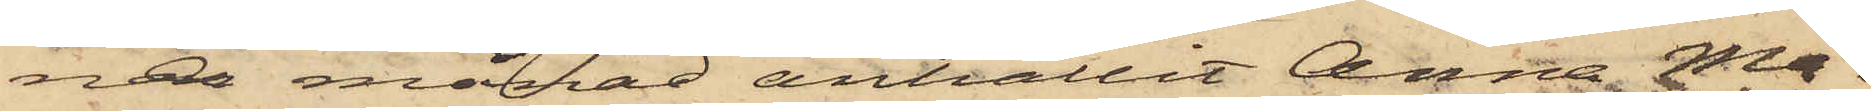na månad anhållit Anna Ma¬
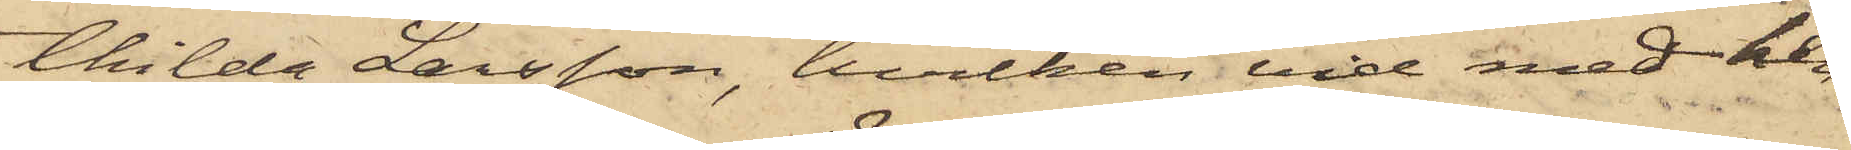thilda Larsson, hvilken vid med hen¬
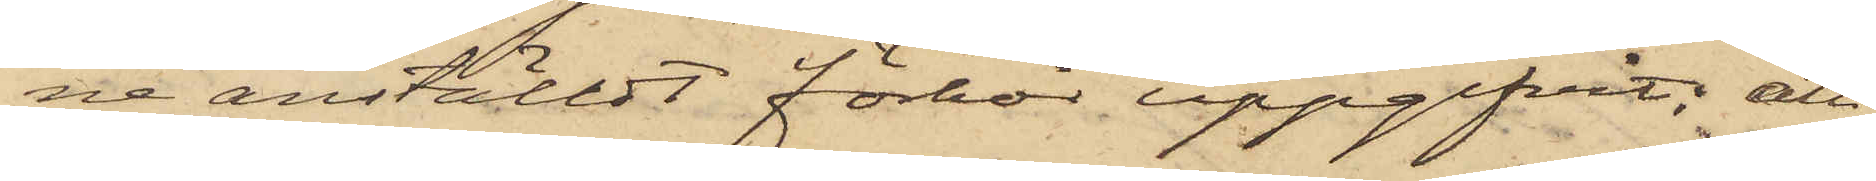ne anställdt förhör uppgifvit; att
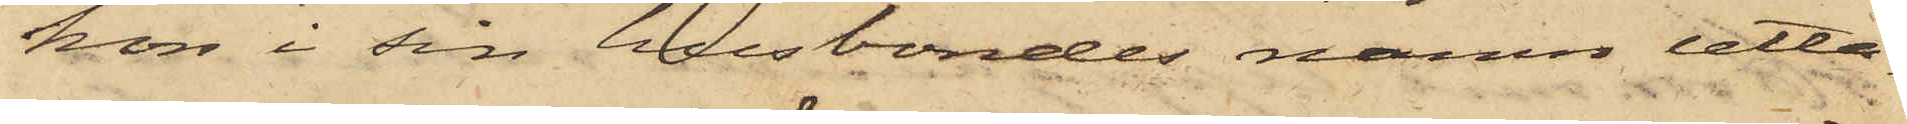hon i sin husbondes namn utta¬
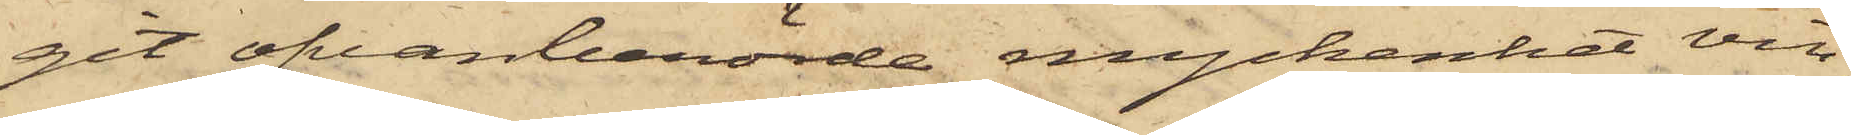git ofvanberörde myckenhet vin,
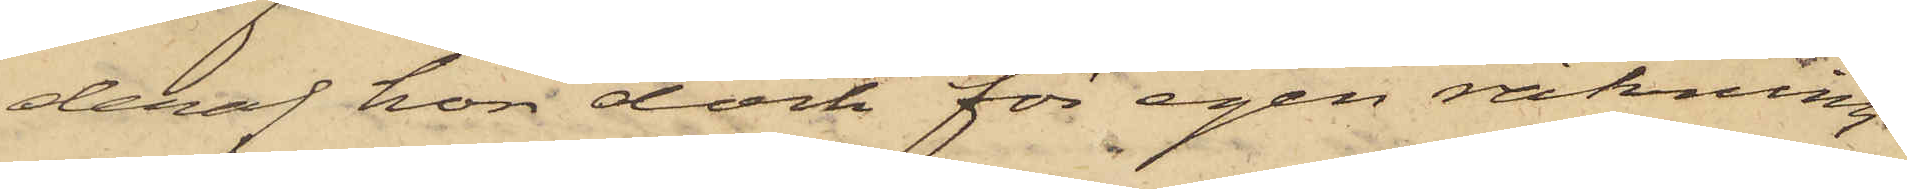deraf hon dock för egen räkning
